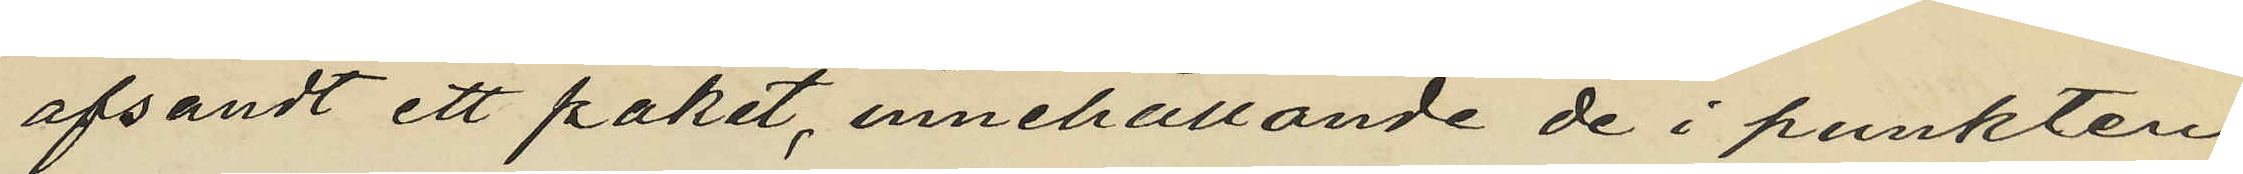afsändt ett paket, innehållande de i punkten
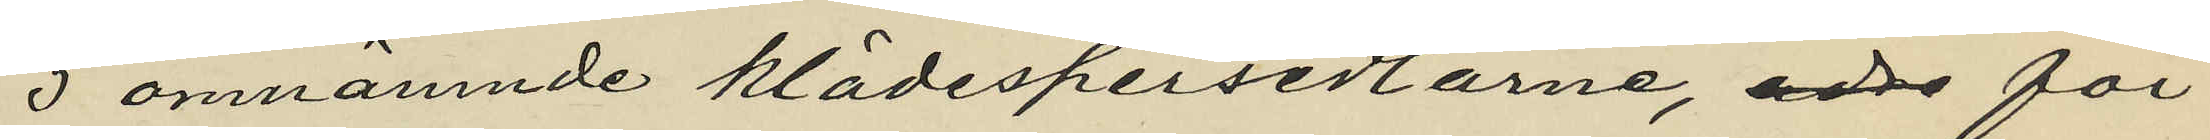5 omnämnde klädespersedlarne, att för
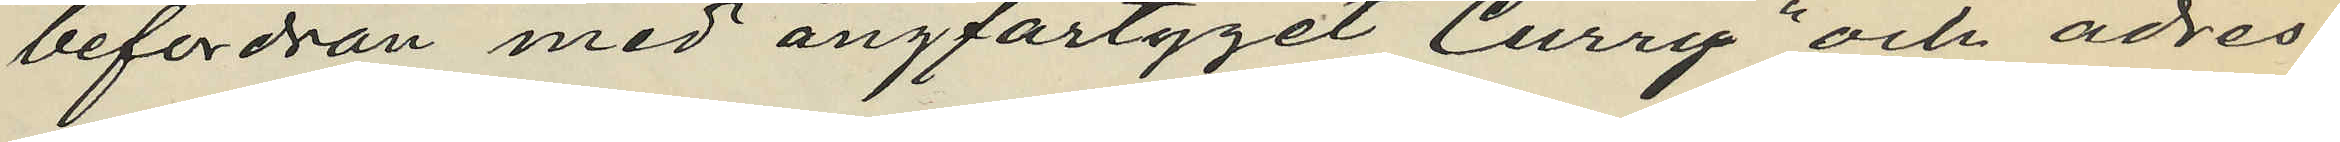befordran med ångfartyget "Curry" och adres¬
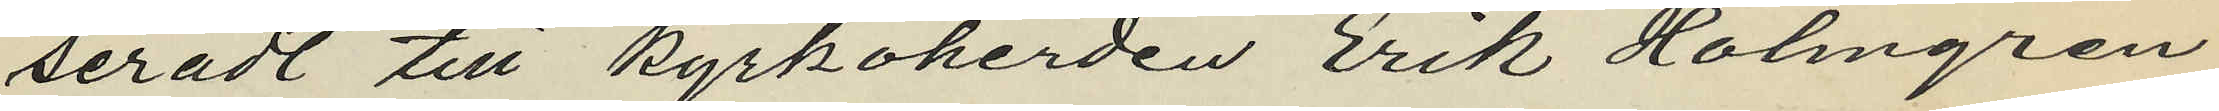seradt till kyrkoherden Erik Holmgren
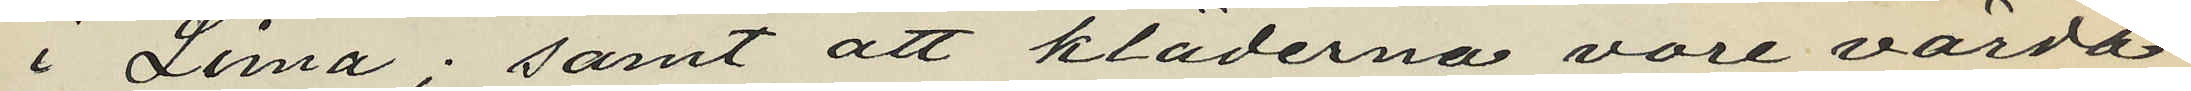i Lima; samt att kläderna vore värda
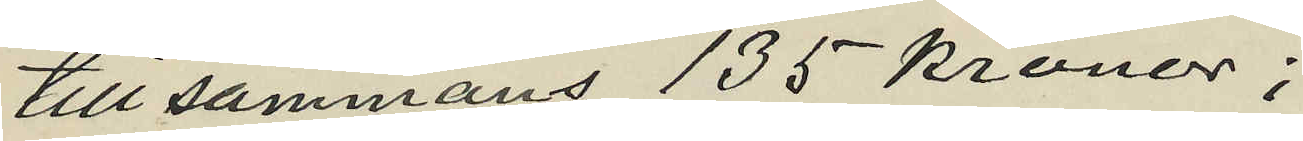tillsammans 135 kronor;
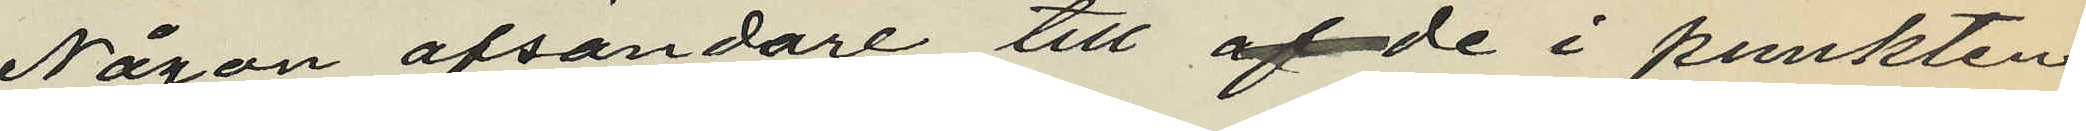Någon afsändare till af de i punkten
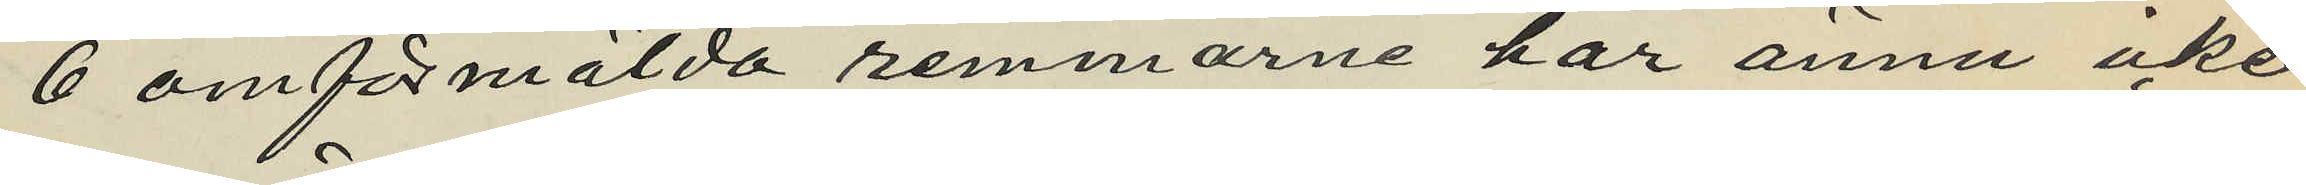6 omförmälda remmarne har ännu icke
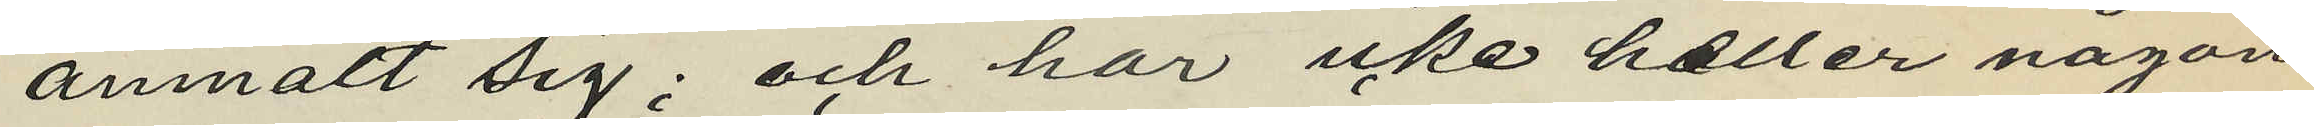anmält sig; och har icke heller någon
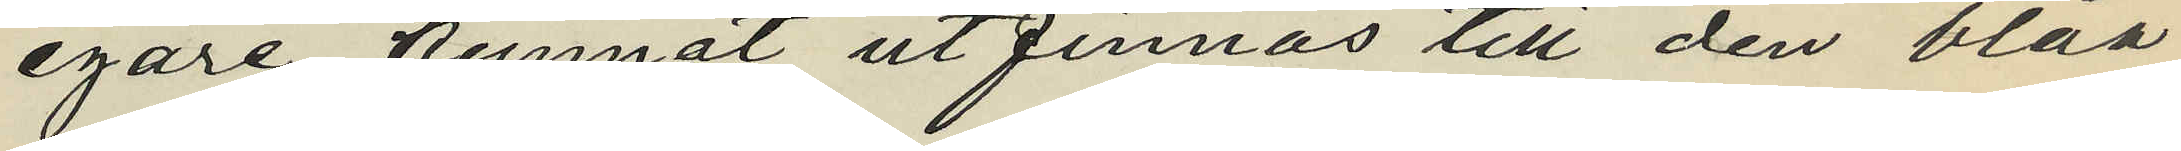egare kunnat utfinnas till den blåa
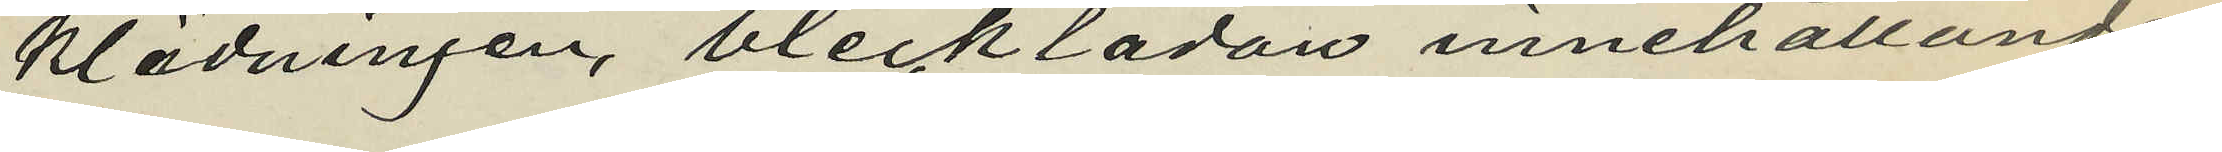klädningen, blecklådan innehållande
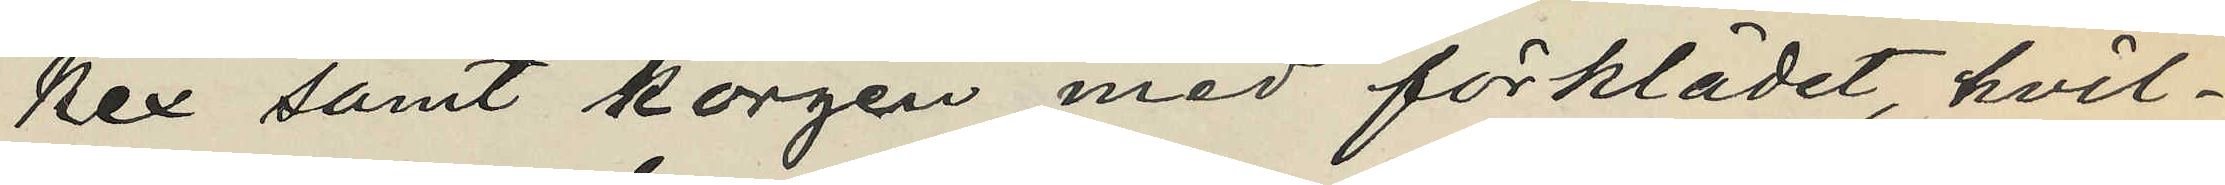kex samt korgen med förklädet hvil¬
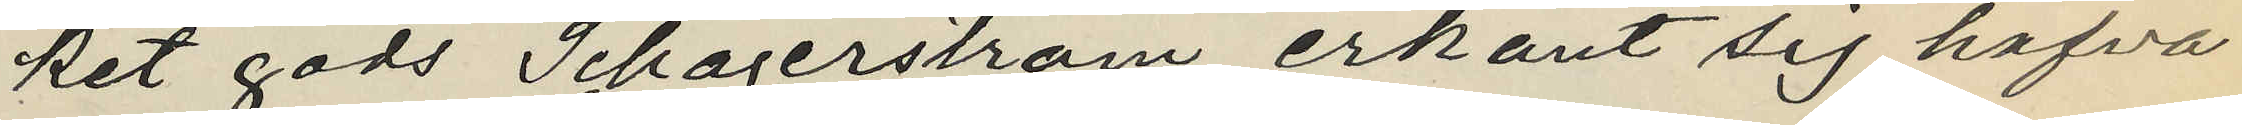ket gods Schagerström erkänt sig hafva
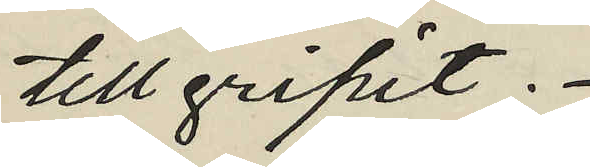tillgripit.
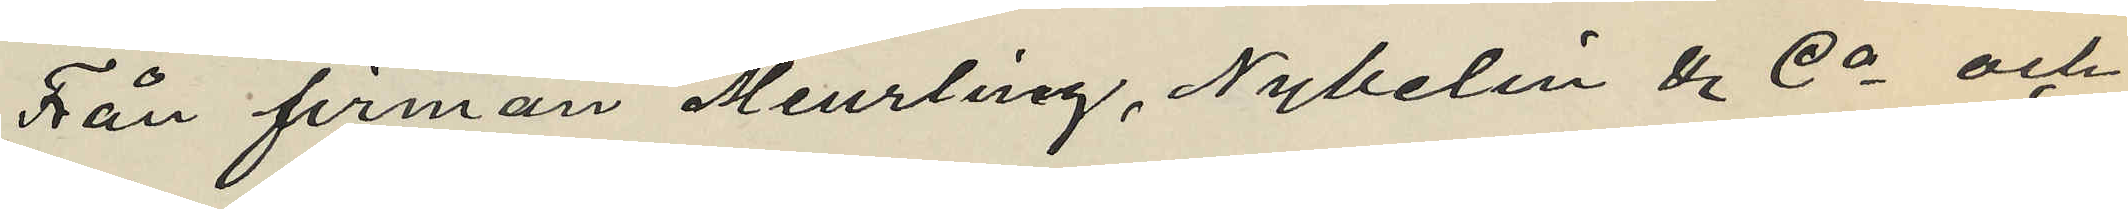Från firman Meurling, Nybelin & Co och
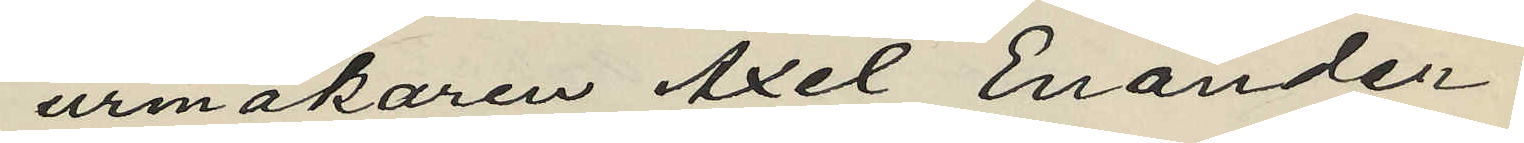urmakaren Axel Enander
